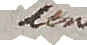den
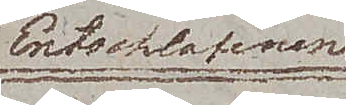Entschlafenen
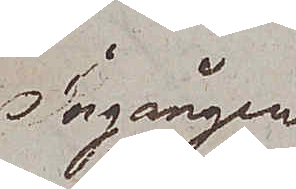Ingången
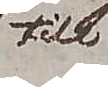till
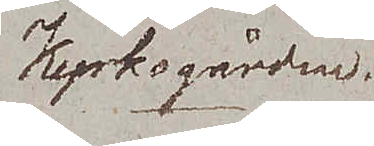Kyrkogården.
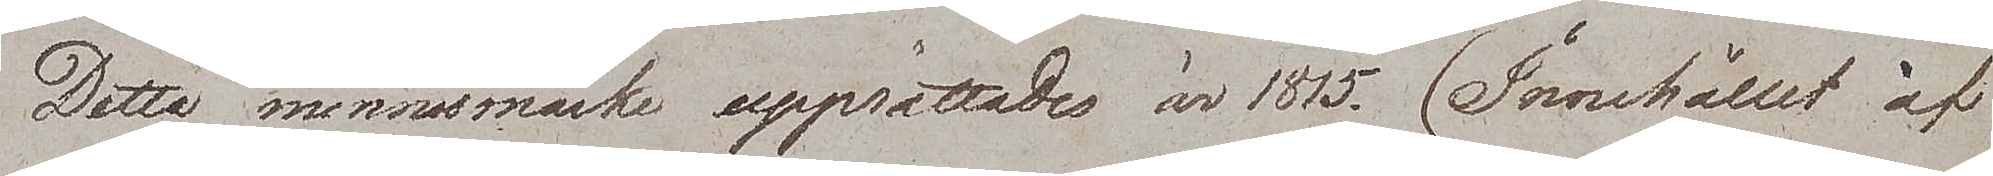Detta minnesmärke upprättades är 1815 (Innehållet af
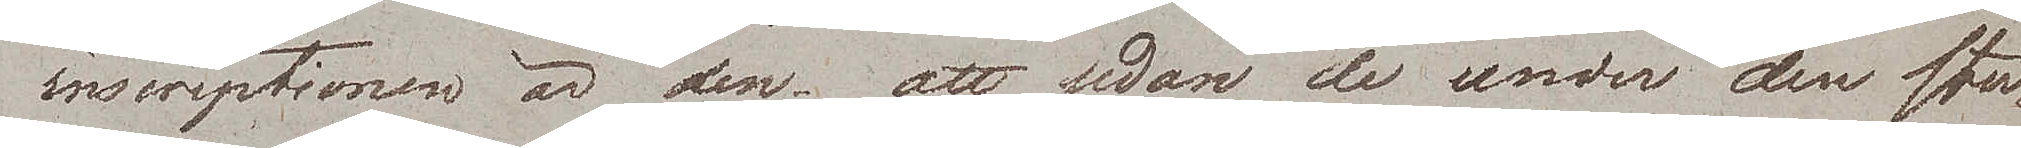inscriptionen är den, att sedan de under den star¬
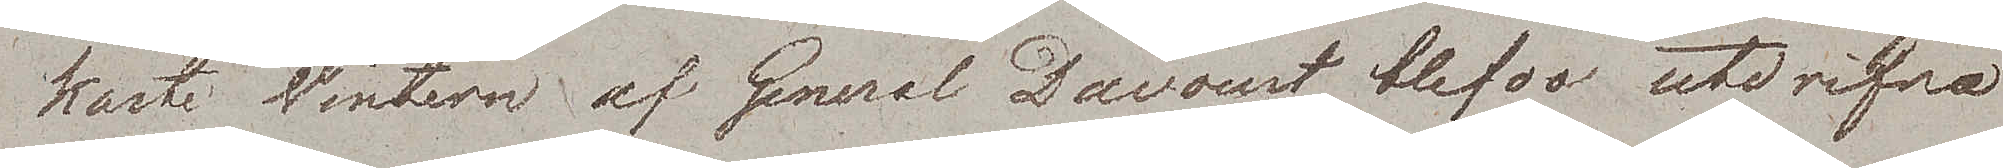kaste Wintern af General Davoust blefvo utdrifna
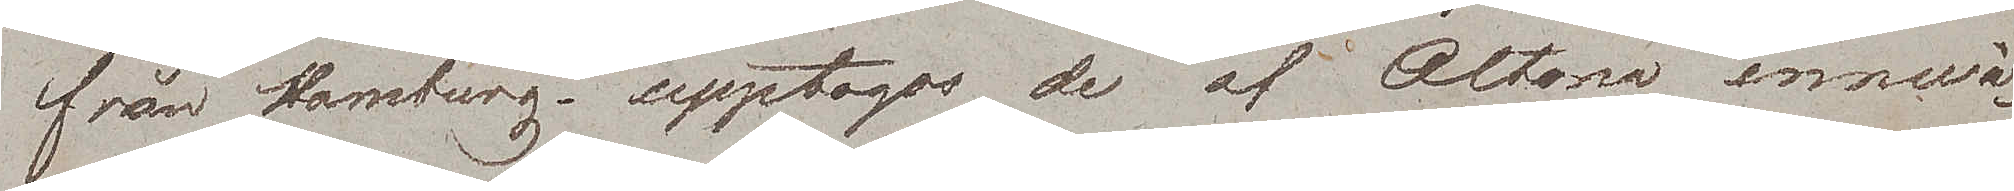från Hamburg – upptogos de af Altona innewå¬
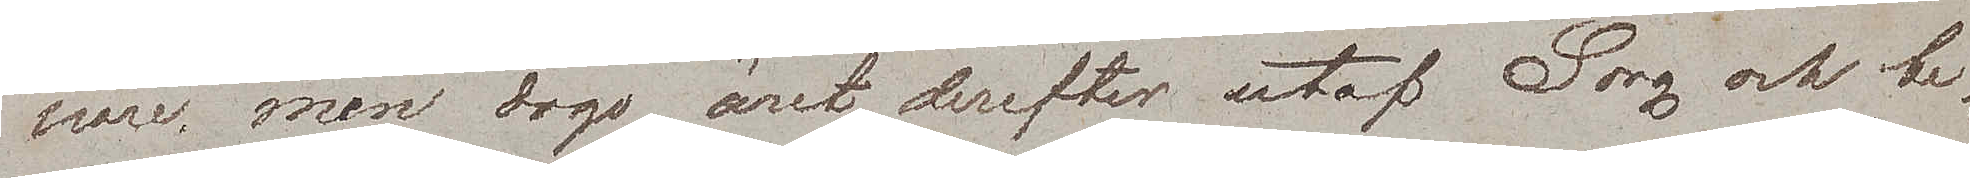nare men dogo året derefter utaf Sorg och be¬
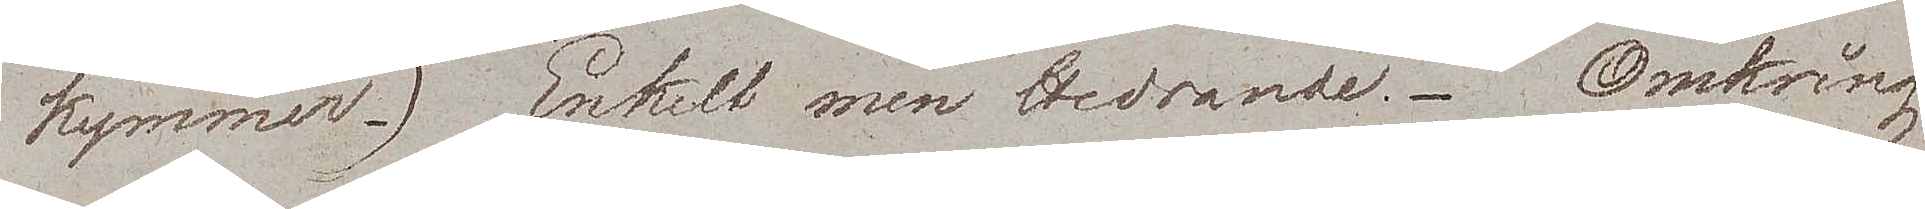kymmer.) Enkelt men Hedrande. Omkring
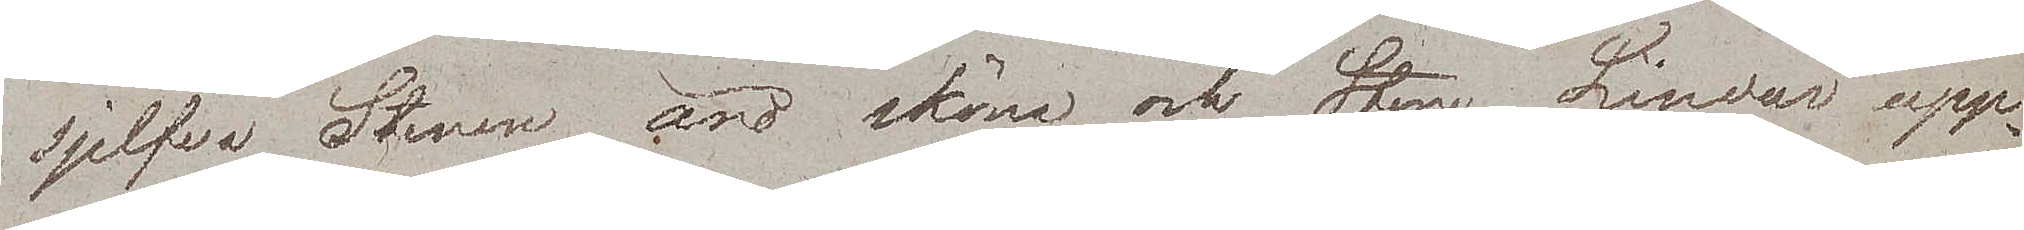sjelfva Stenen äro sköna och Store Lindar upp¬
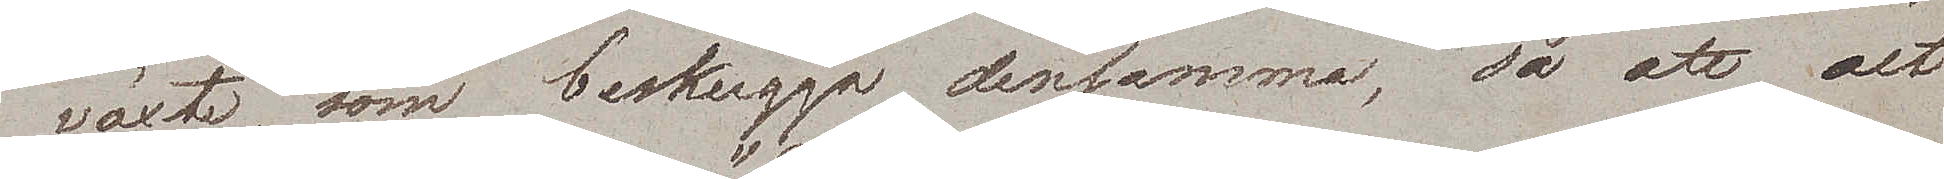växte som beskugga densamma, så att det
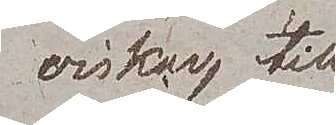viskar till
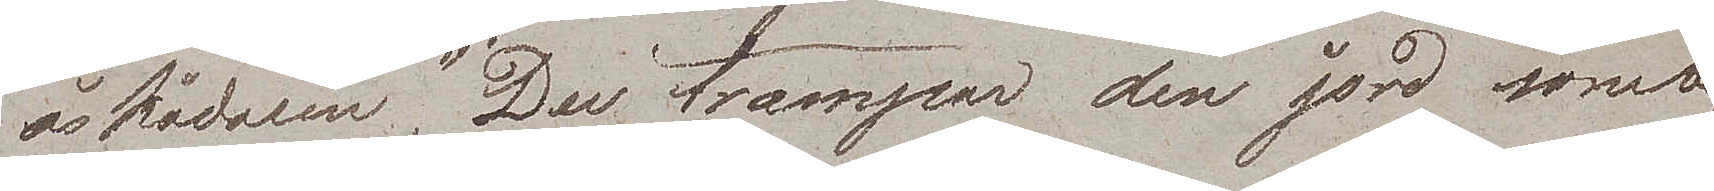åskådaren "Du trampar den jord som
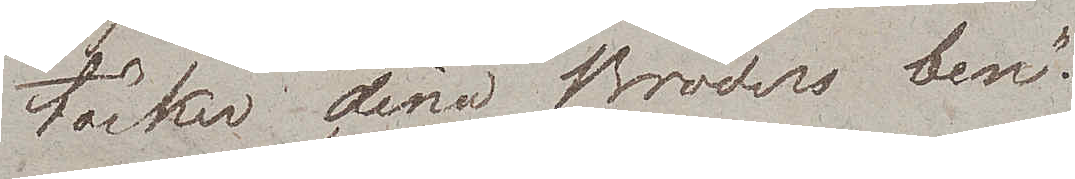täcker dina Bröders ben".
